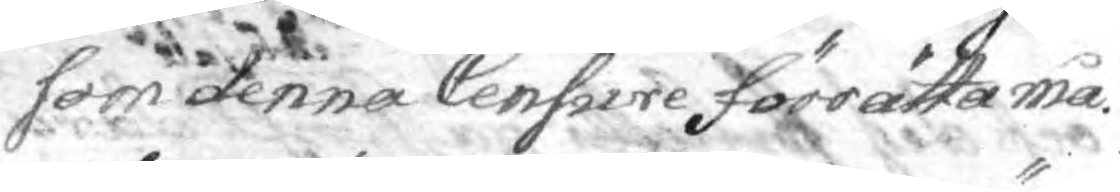som denna Censure förrätta må.
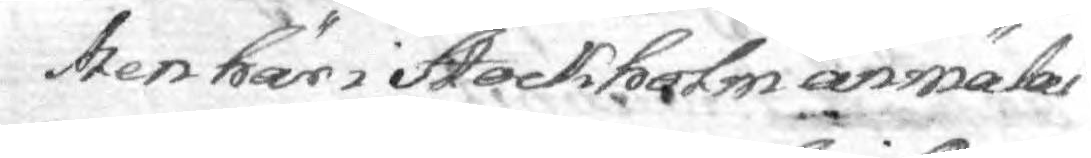Men här i Stockholm anmälas
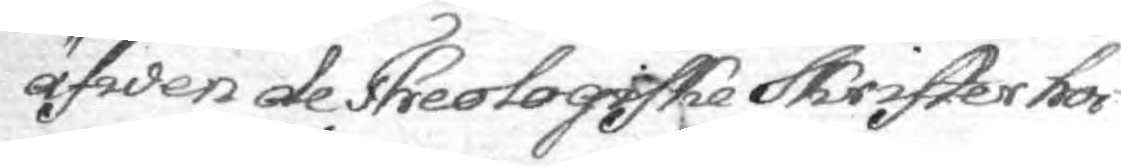äfwen de Theologiske Skrifer hos
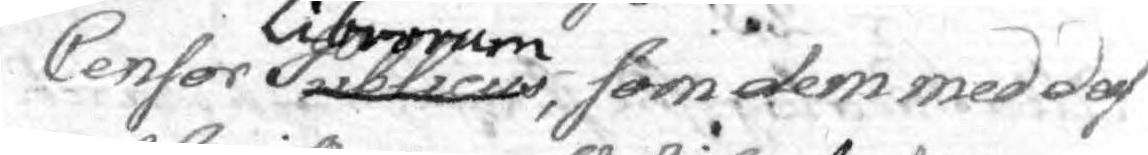Censor publicus Librorum, som dem med des
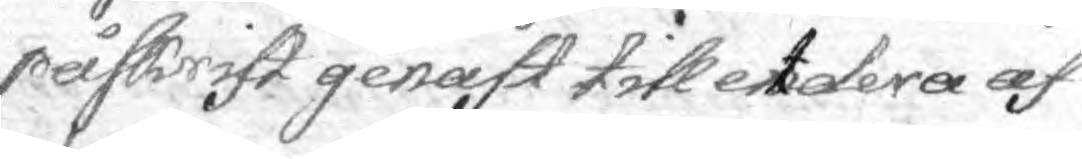påskrift genast till etdera af
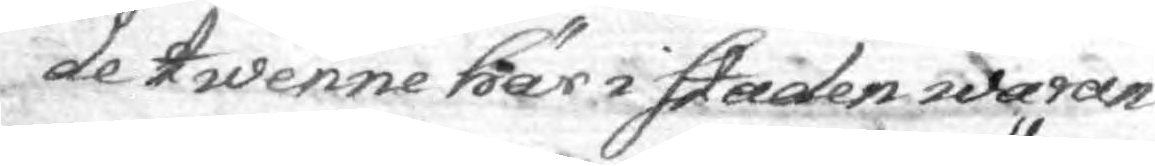de twenne här i Staden waran¬
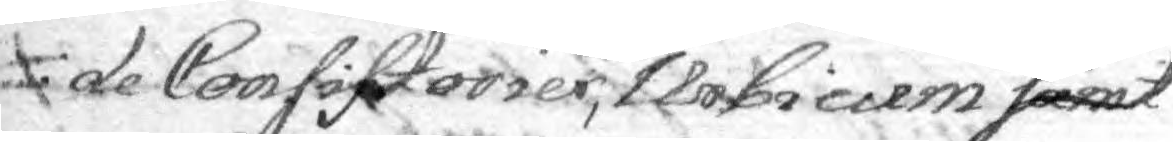de Consistorier, Urbicum samt eller
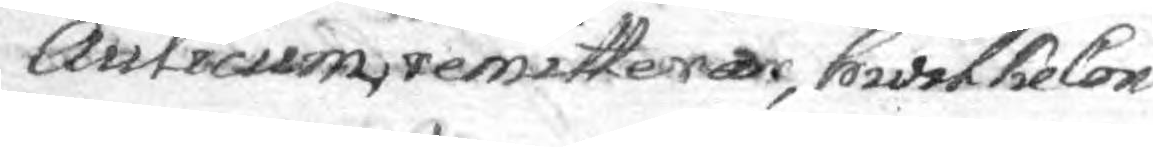Aulicum remitterar, hwilke Con¬
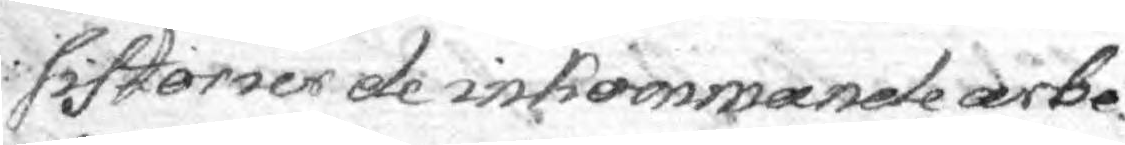sistorier de inkommande arbe¬
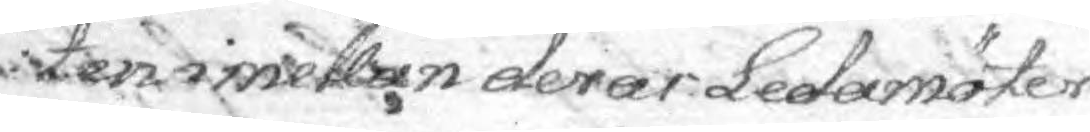en imellen deras Ledamöter
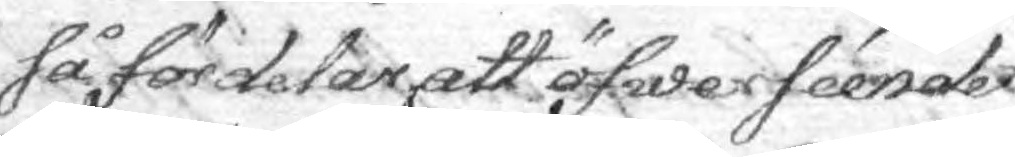så fördelar att öfwerséendet
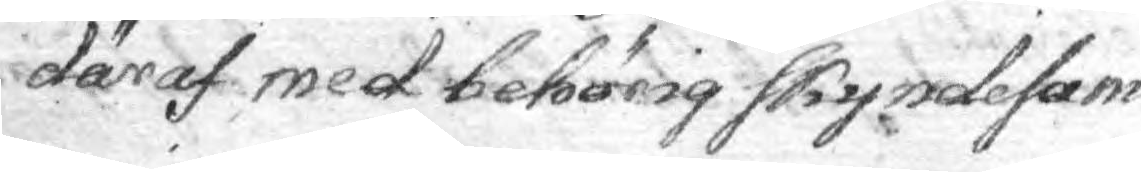däraf med behörig Skyndesam¬
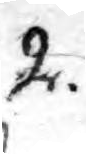2.
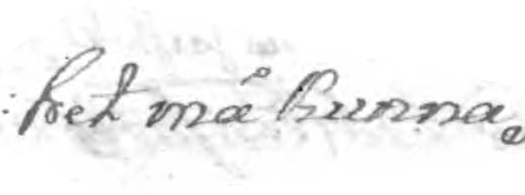het må kunna  
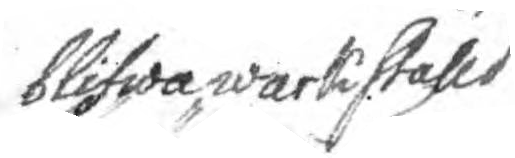blifwa wärkställd
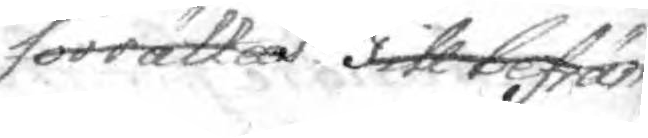förrättas till befräm¬ 
